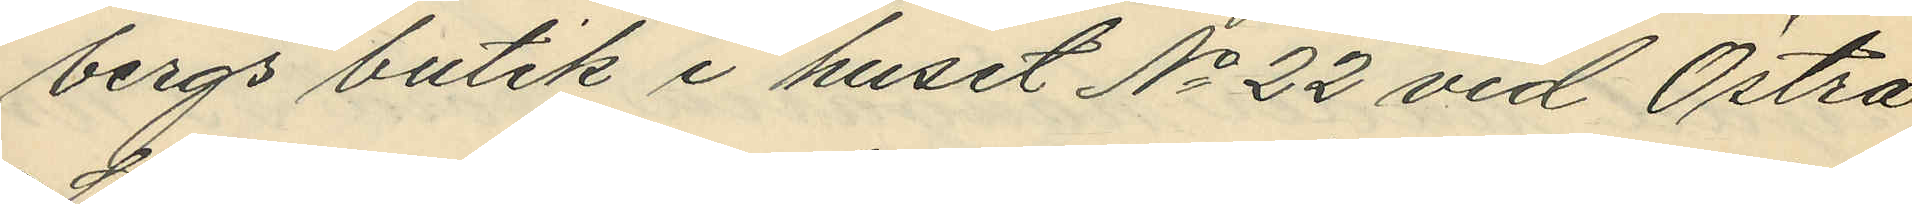bergs butik i huset No 22 vid Östra
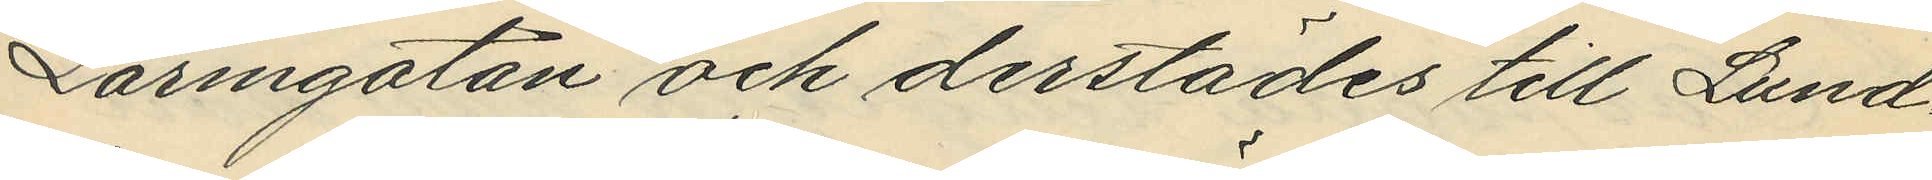Larmgatan och derstädes till Lund¬
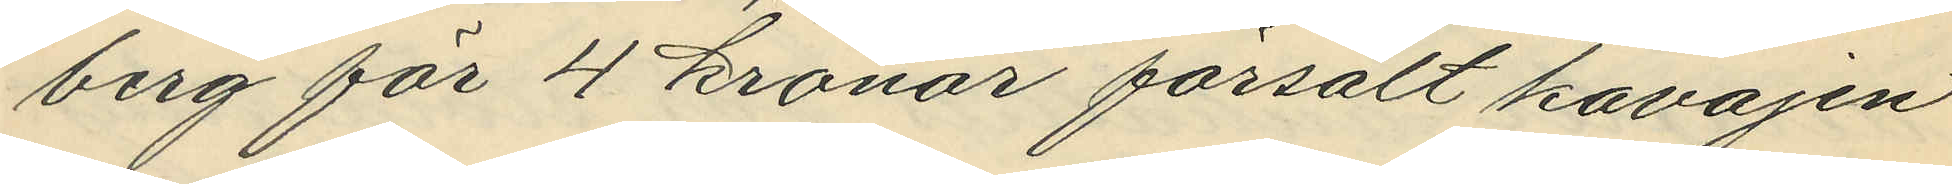berg för 4 kronor försålt kavajen
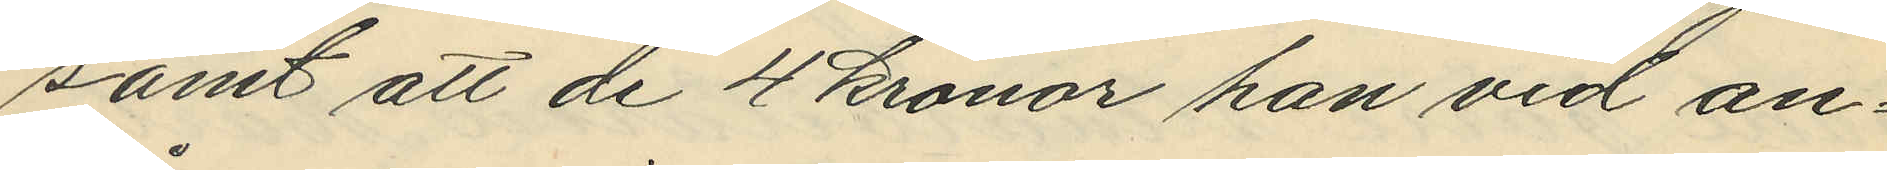samt att de 4 kronor han vid an¬
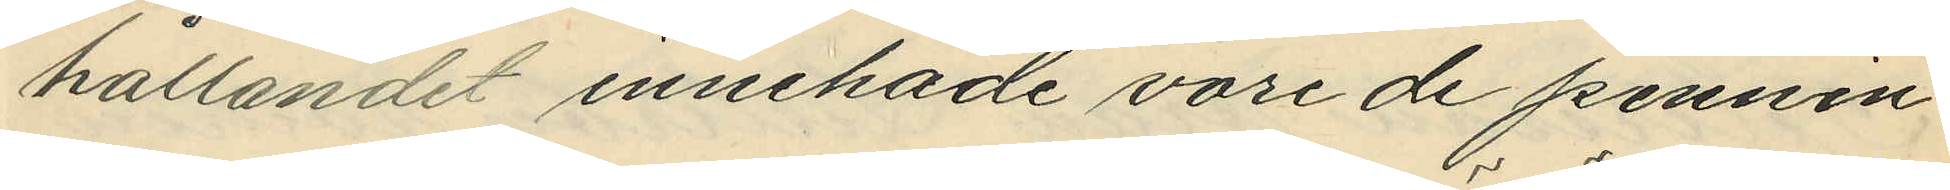hållandet innehade vore de pennin¬
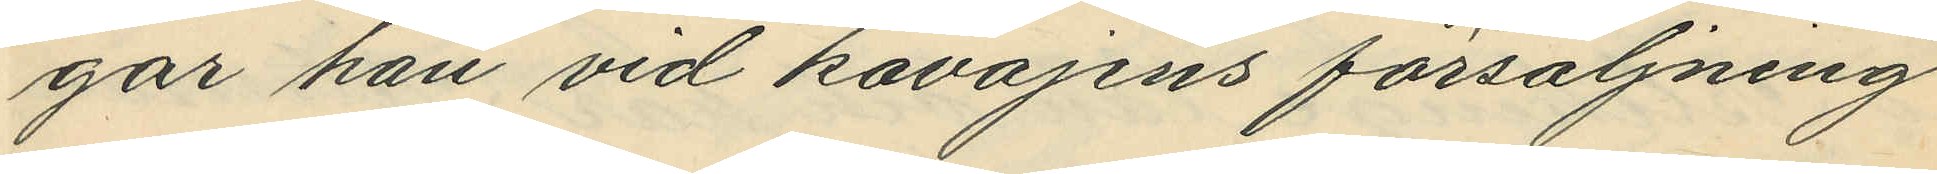gar han vid kavajens försäljning
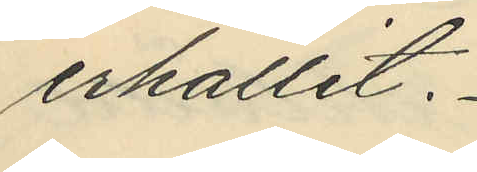erhållit.
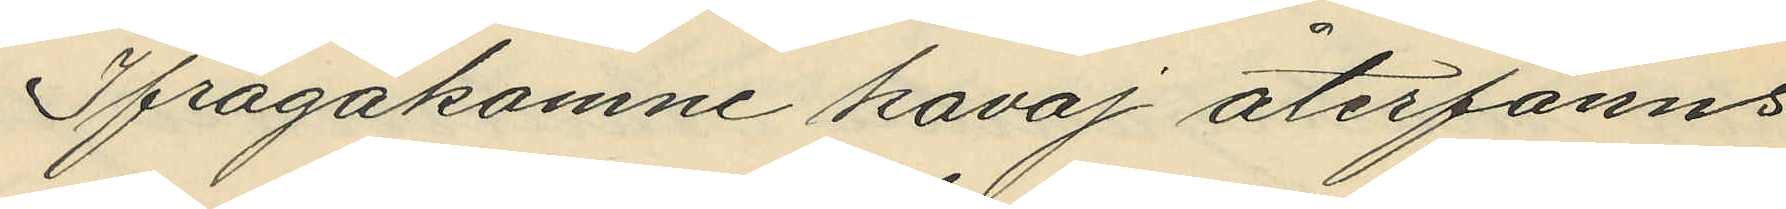Ifrågakomne kavaj återfanns
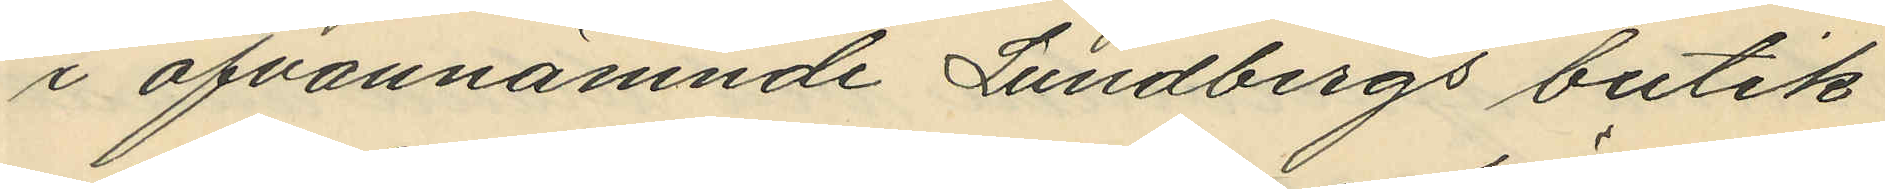i ofvannämnde Lundbergs butik
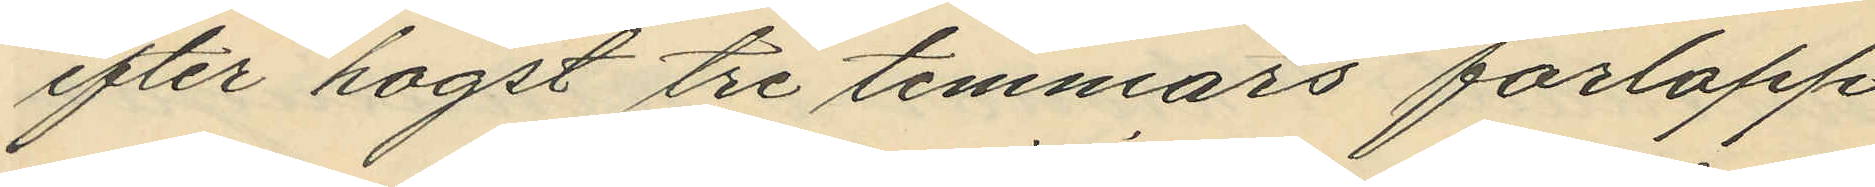efter hogst tre timmars förlopp
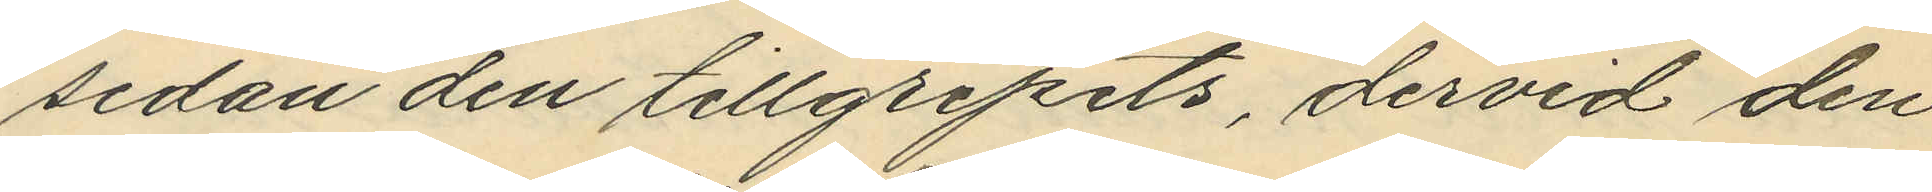sedan den tillgripits, dervid den
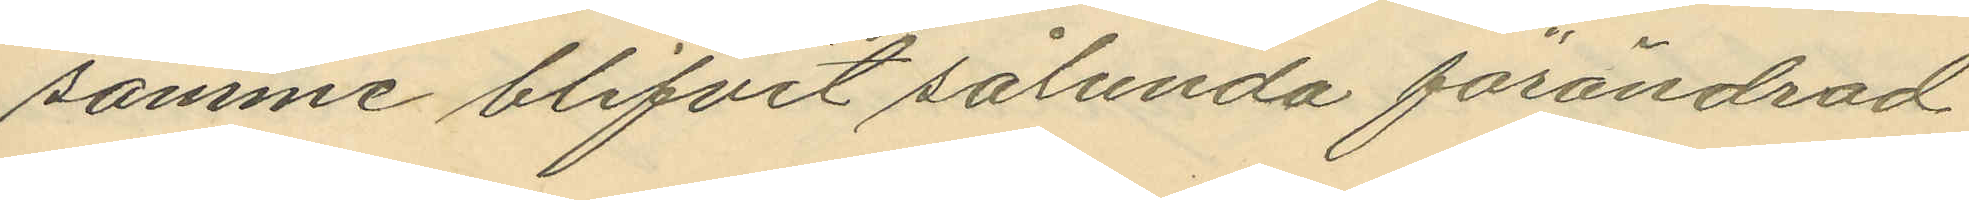samme blifvit sålunda förändrad
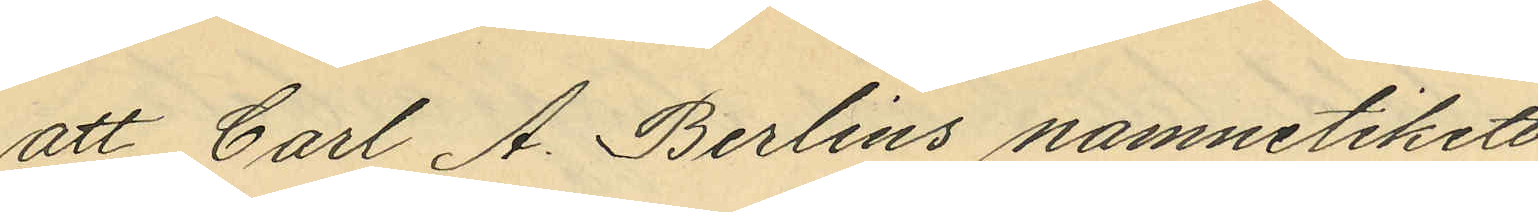att Carl A. Berlins namnetikett
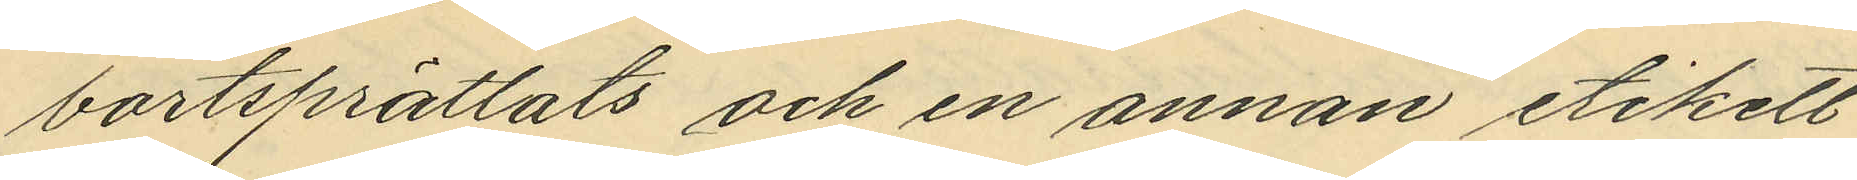mortsprättats och en annan etikett
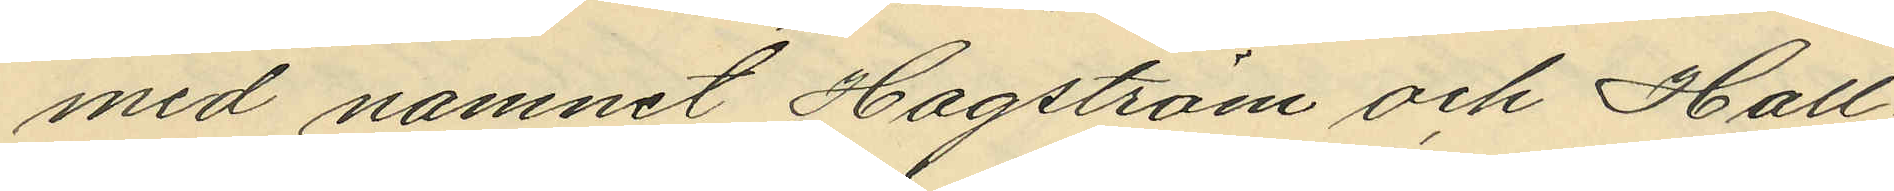med namnet Hagström och Hall¬
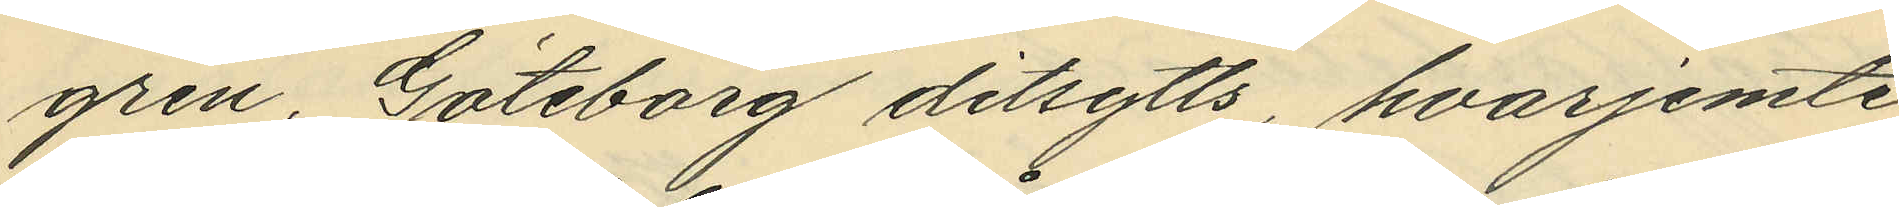gren, Göteborg ditsytts, hvarjemte
